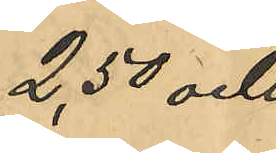2,50 och
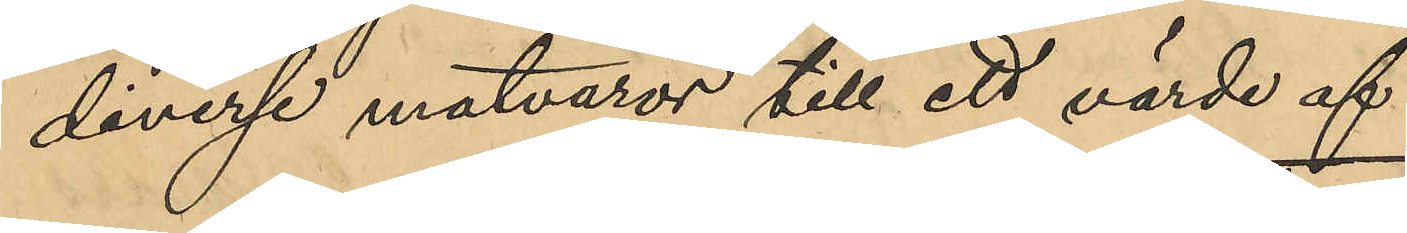diverse matvaror till ett värde af
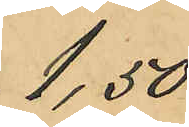1,50
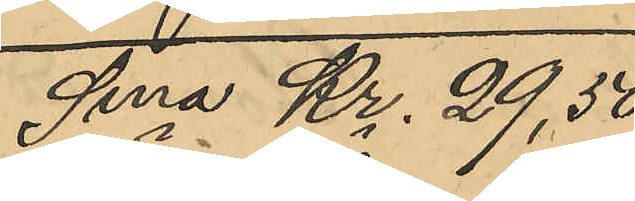Sma Kr. 29,50
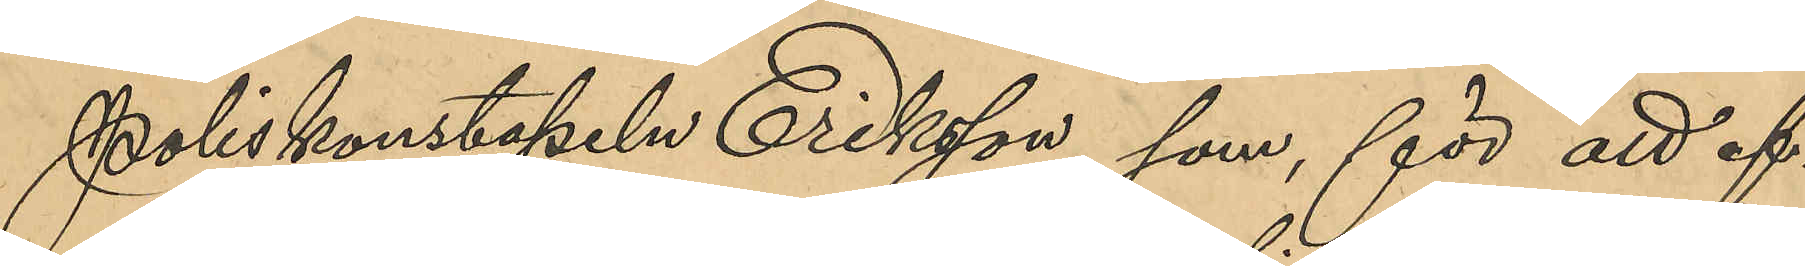Poliskonstapeln Eriksson, som, för att ef¬
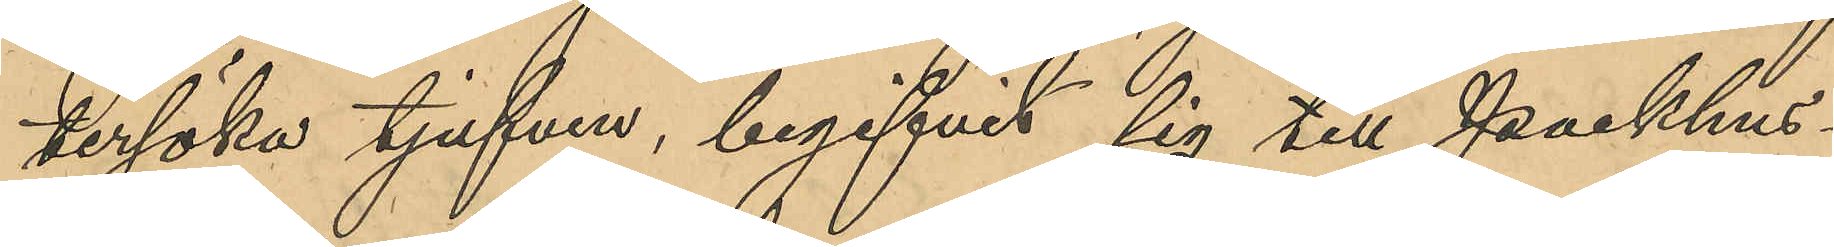tersöka tjufven, begifvit sig till Packhus¬
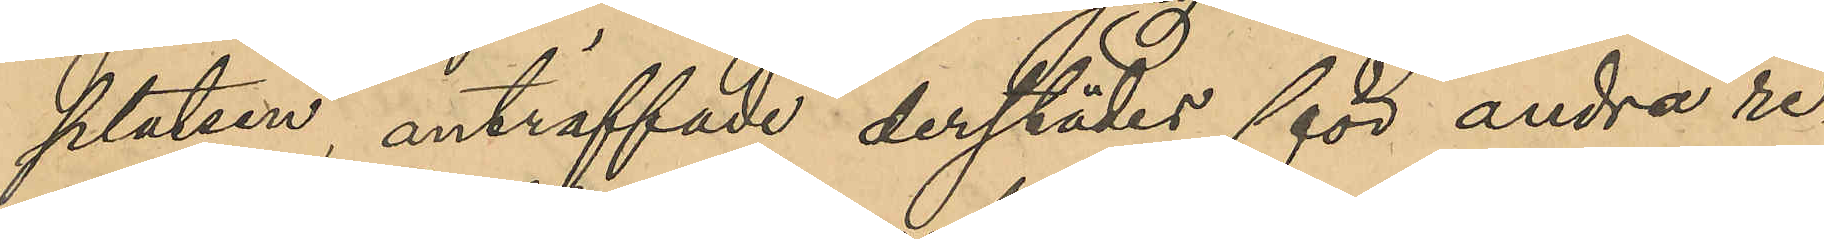platsen, anträffade derstädes för andra re¬
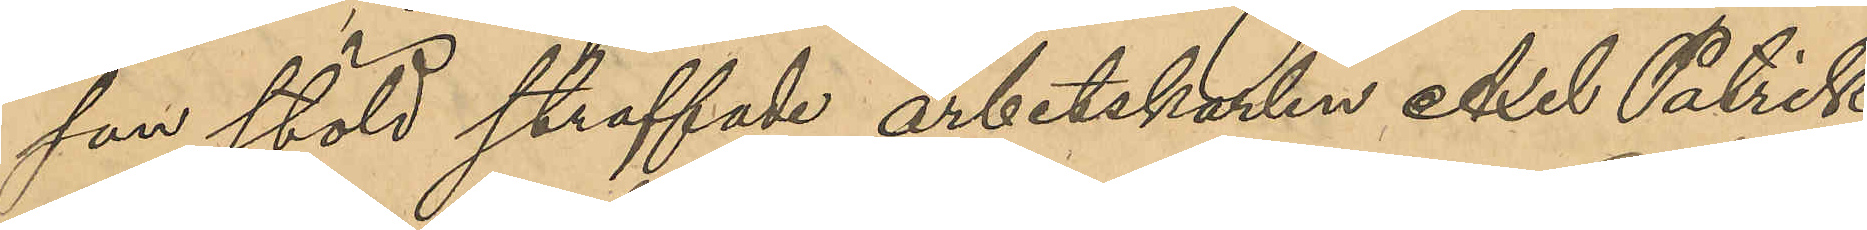san stöld straffade arbetskarlen Axel Patrik
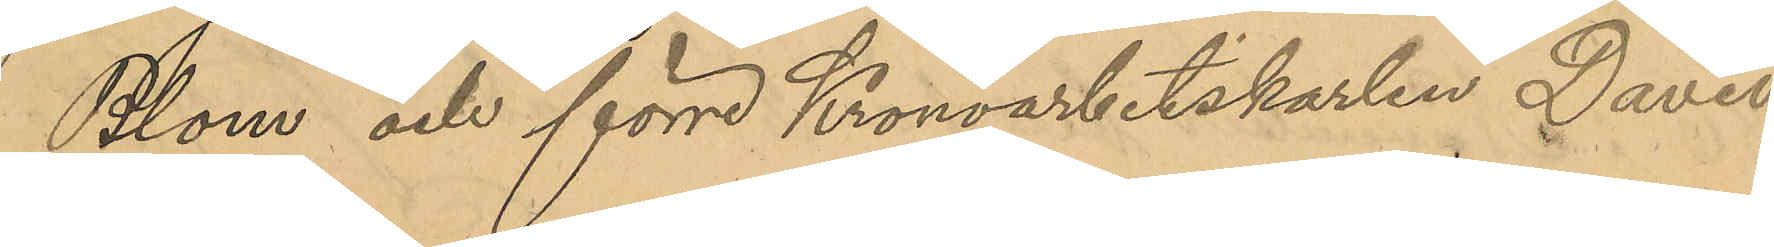Blom och förre Kronoarbetskarlen David
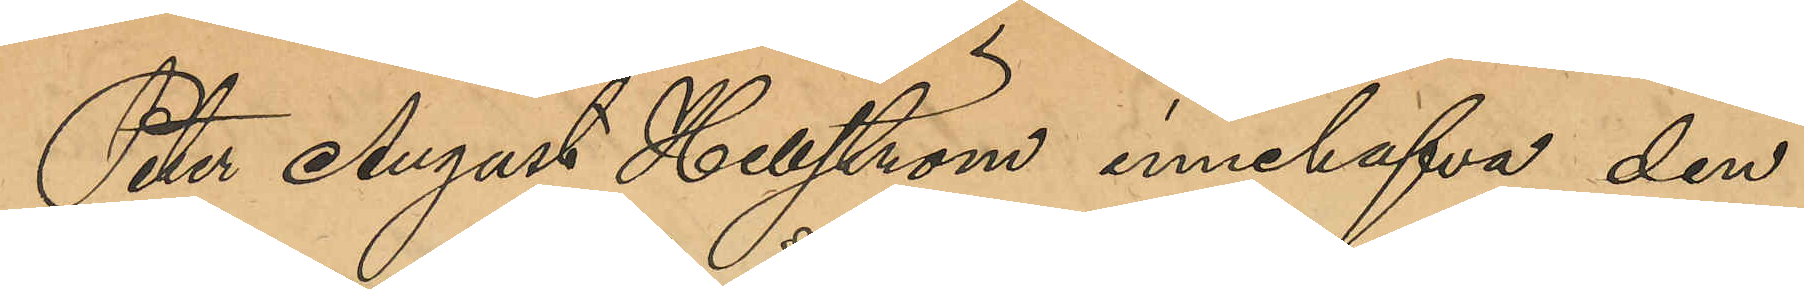Peter August Hellström innehafva den
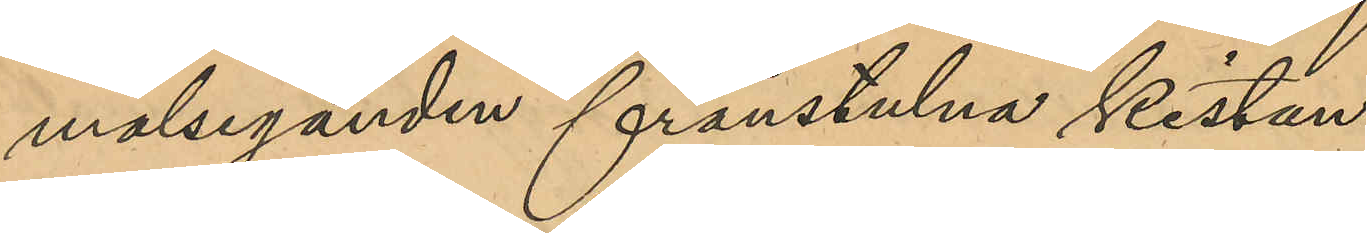målseganden frånstulna kistan.
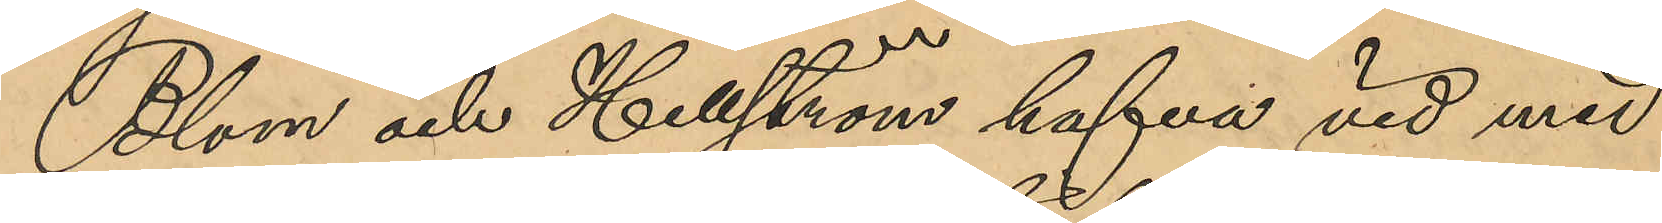Blom och Hellström hafva vid med
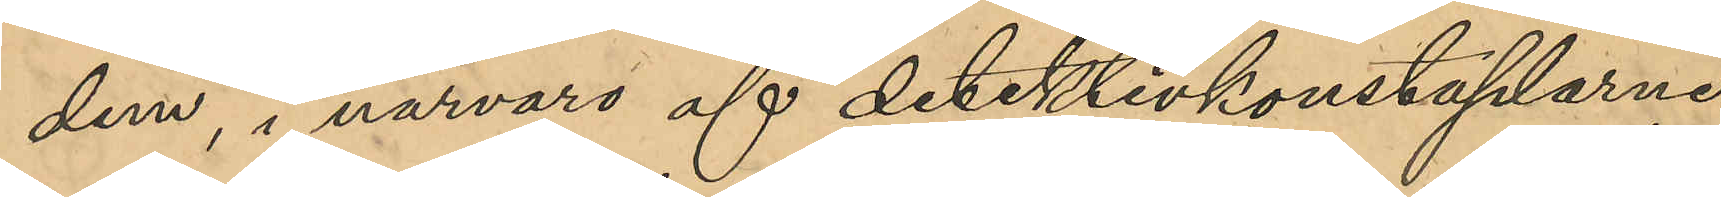dem i närvaro af detektivkonstaplarne
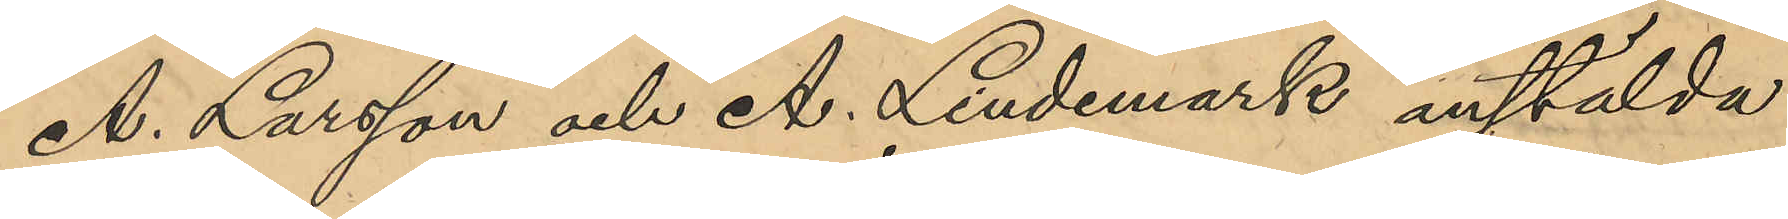A. Larsson och A. Lindemark anstälda
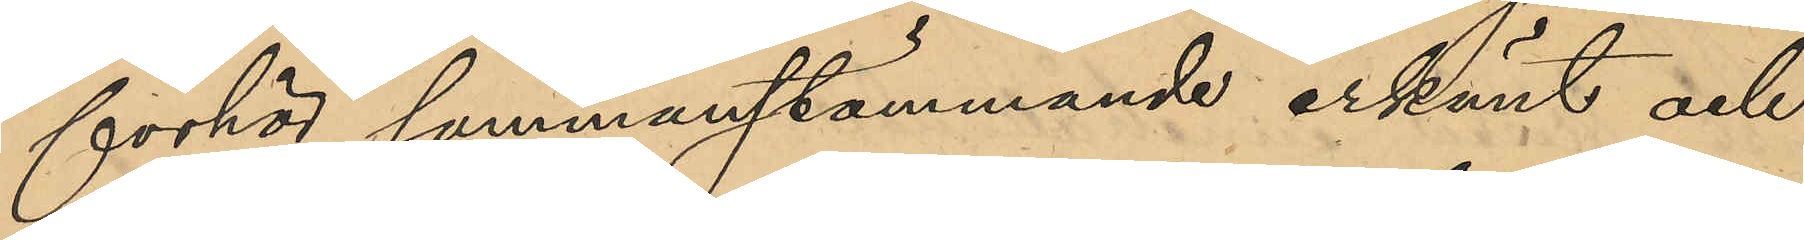förhör sammanstämmande erkänt och
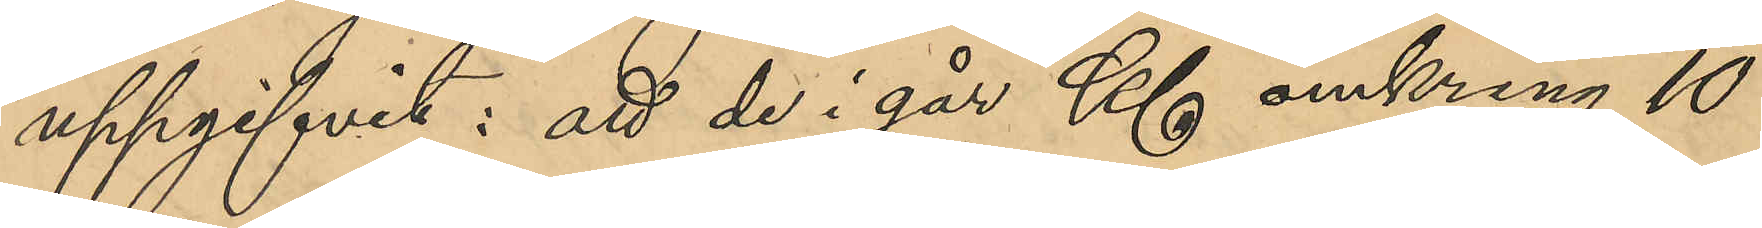uppgifvit: att de i går Kl omkring 10
